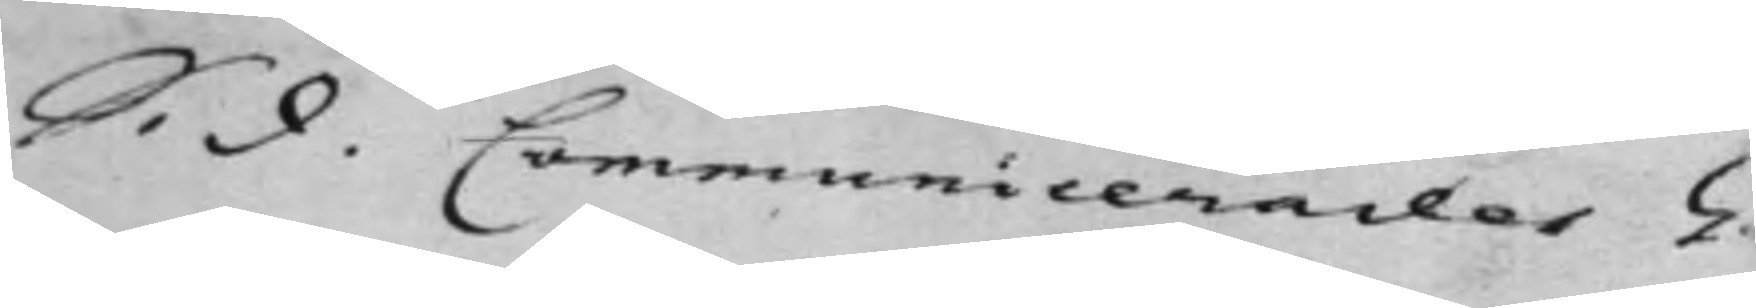S. d. Communicerades G.
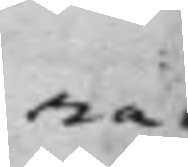ra
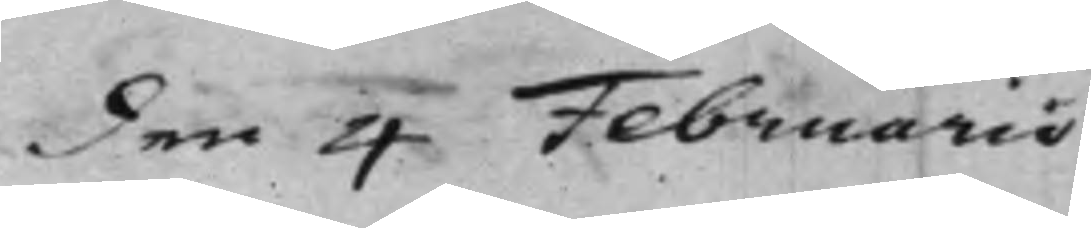den 4 Februarii
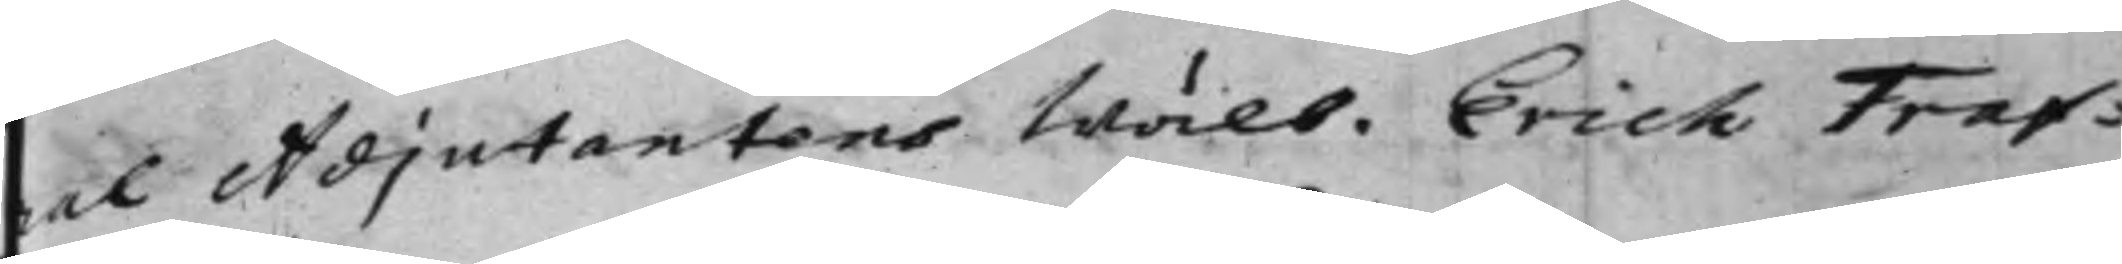ral Adjutantens Wälb. Erich Traf¬
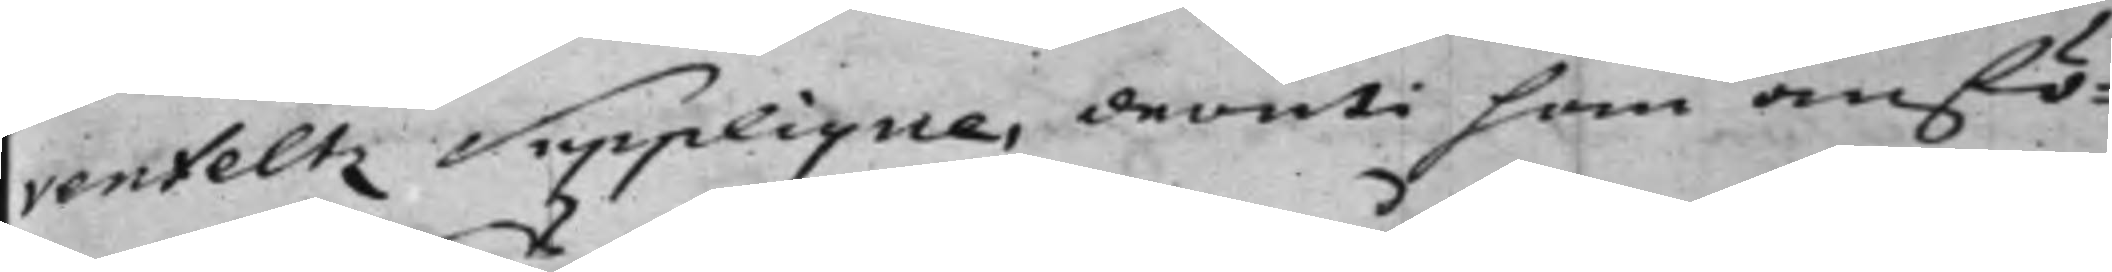venfeltz Supplique, deruti han anfö¬
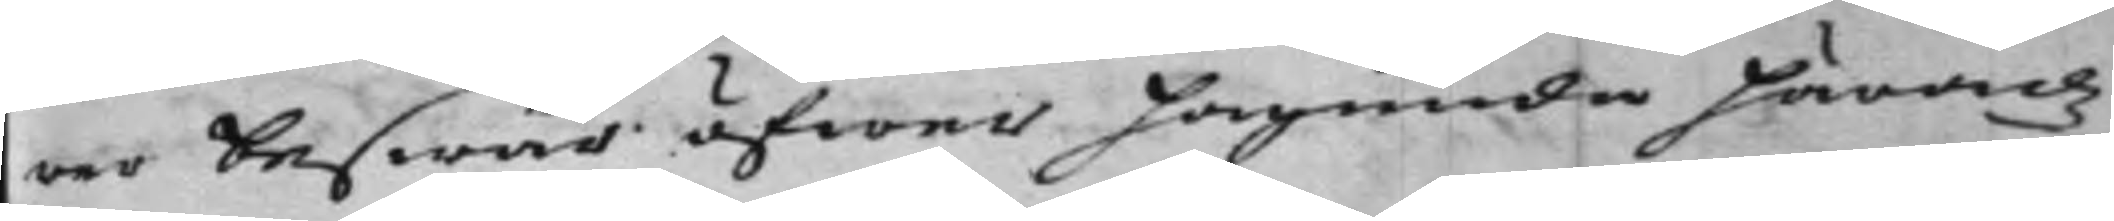rer beswär öfwer Hagunda Häradz
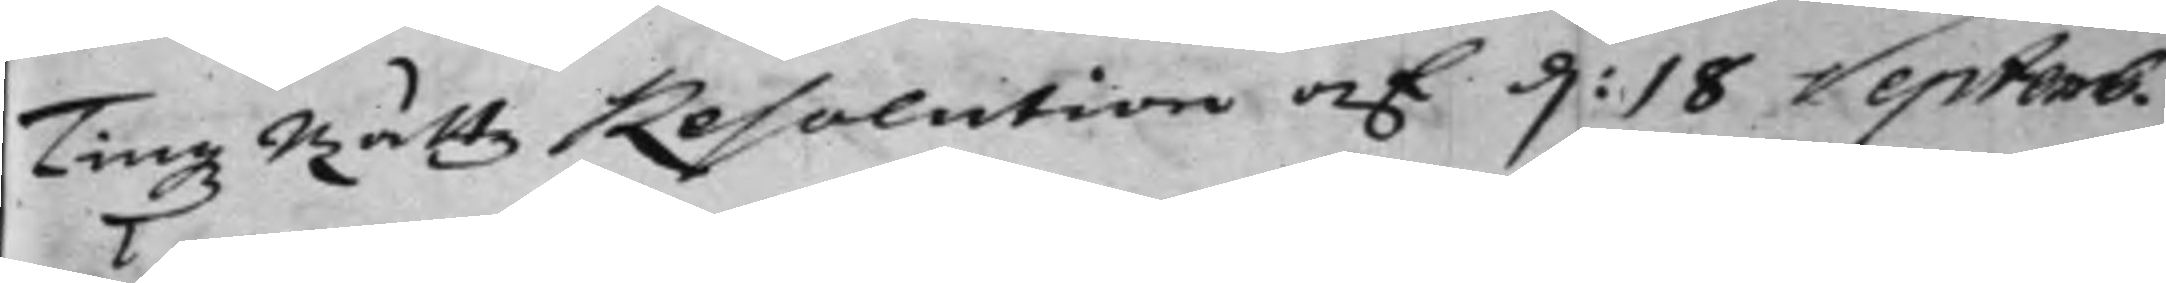Tingz Rättz Resolution af d. 18 Septemb.
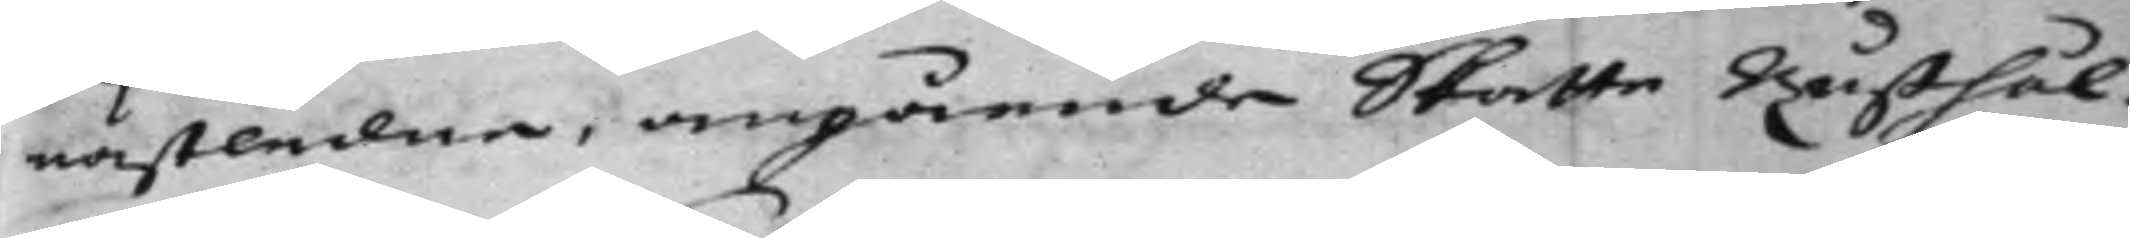nästledne, angående Skatte Rusthål¬
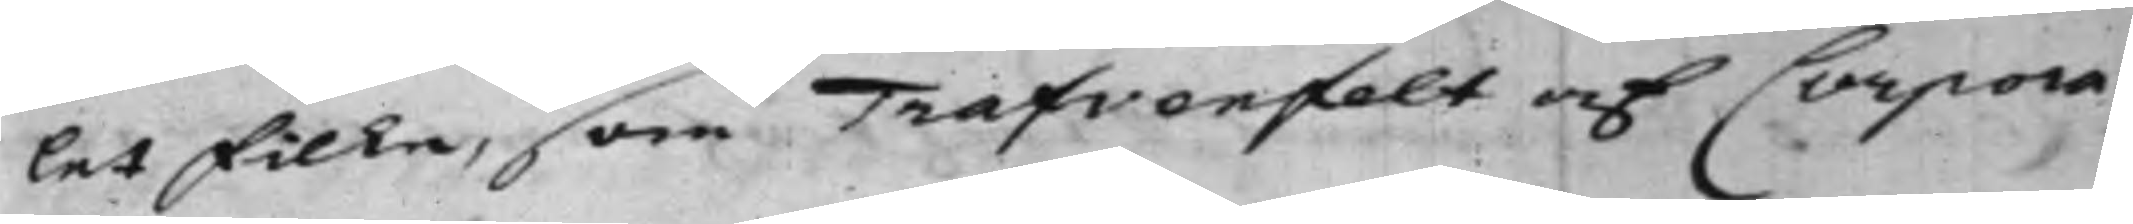let Filke, som Trafvenfelt af Corpora¬
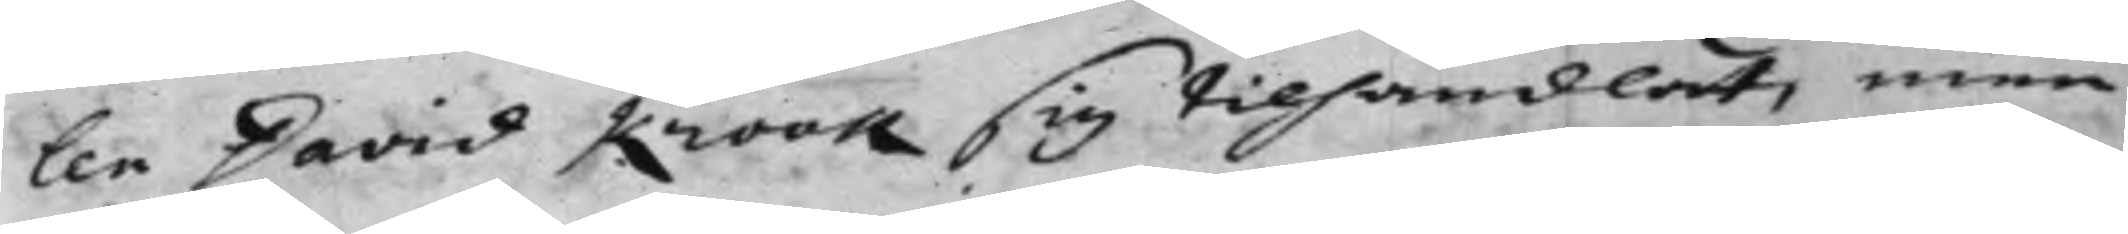len David Krook sig tilhandlat, men
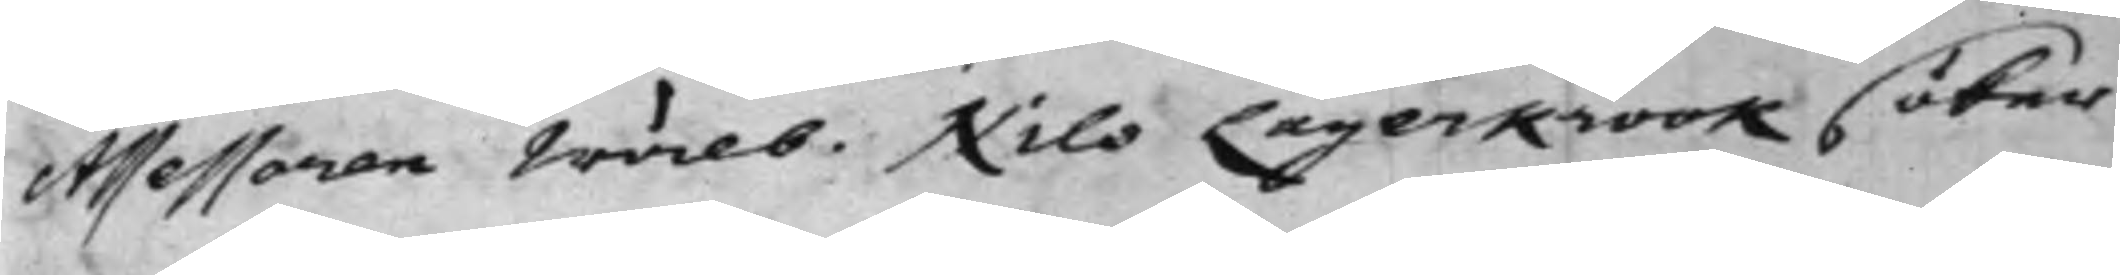Assessoren Wälb. Nils Lagerkrook söker
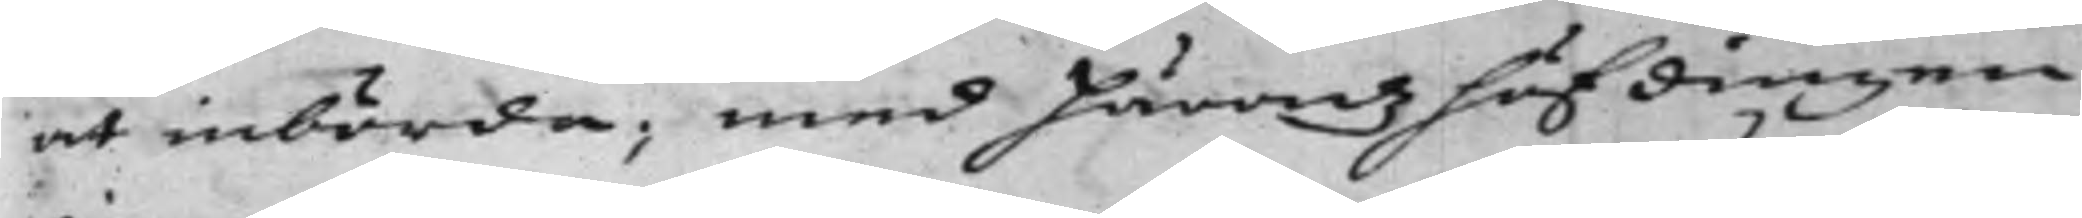at inbörda, med Häradzhöfdingen
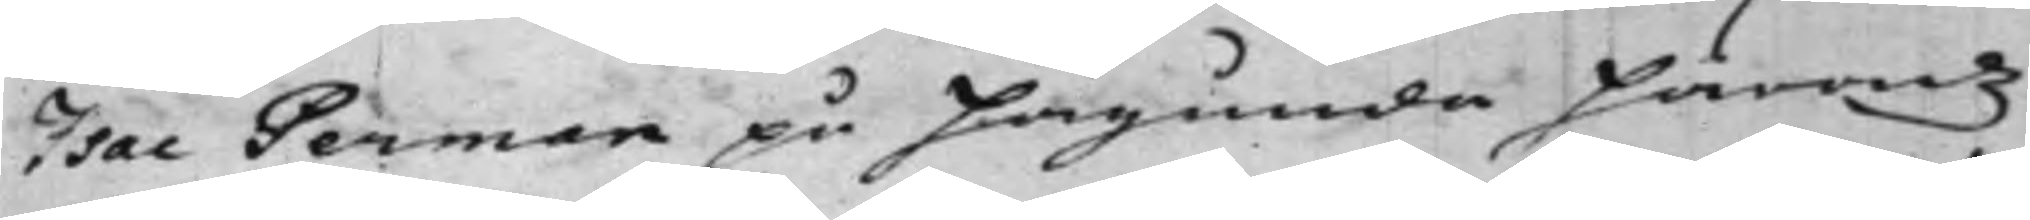Isac German på Hagunda Häradz
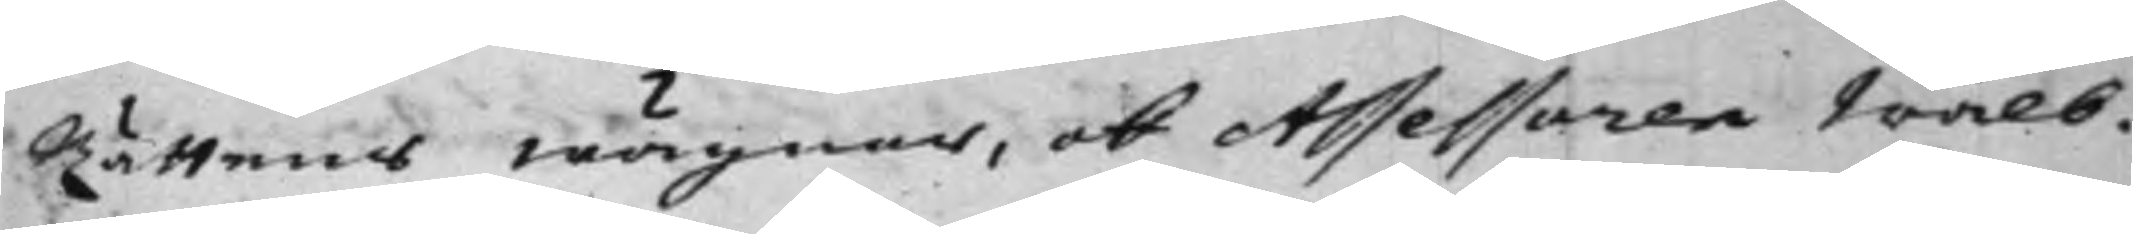Rättens wägnar, ok Assessoren Wälb.
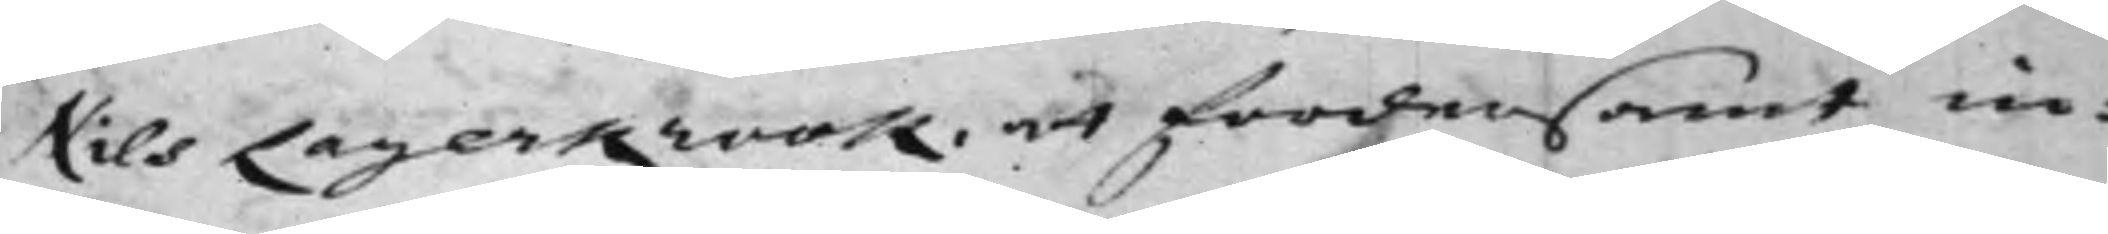Nils Lagerkrook, at fordersamt in¬
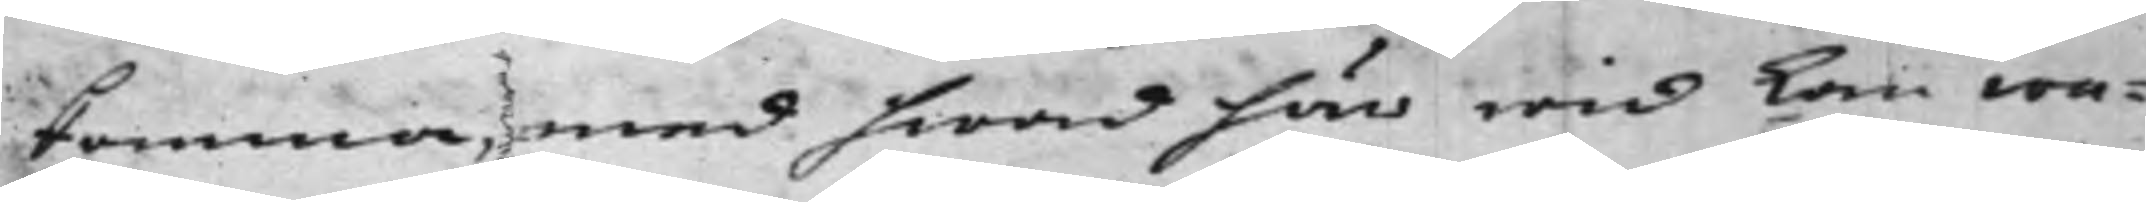komma, med hwad här wid kan wa¬
